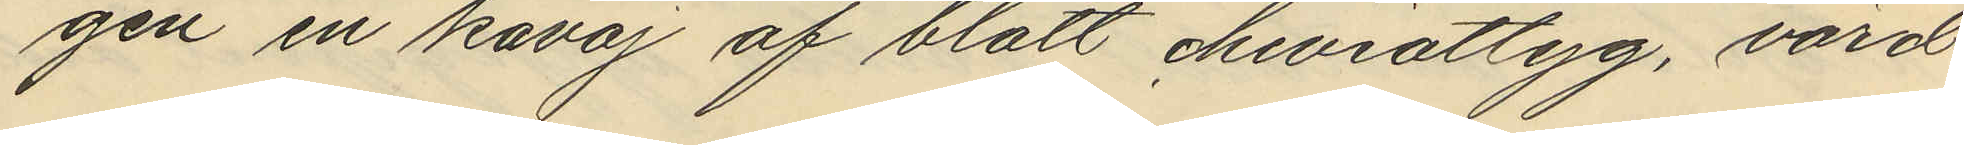gen en kavaj af blått cheviottyg, värd
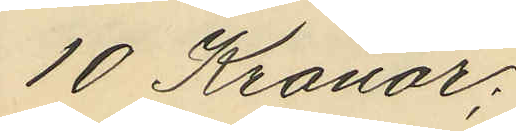10 Kronor;
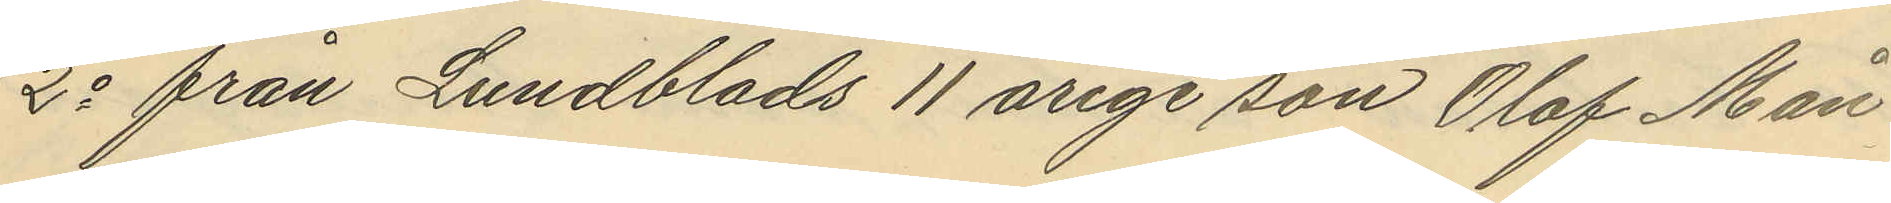2o från Lundblads 11 årige son Olof Mån¬
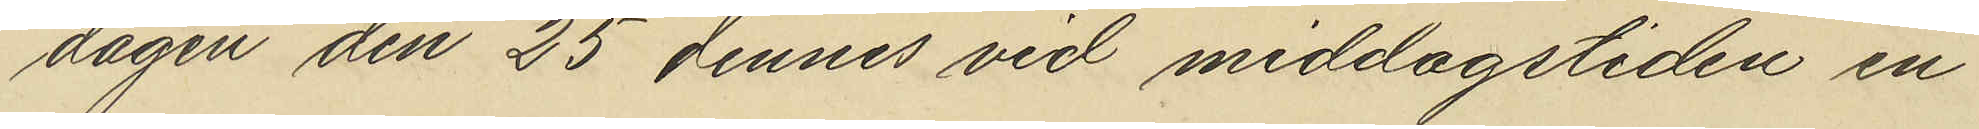dagen den 25 dennes vid middagstiden en
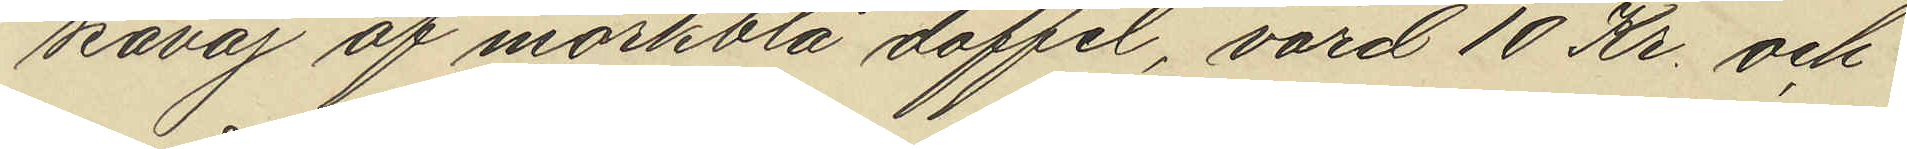kavaj af mörkblå doffel, värd 10 Kr. och
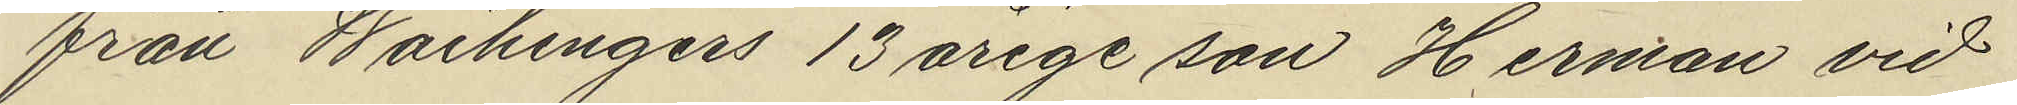från Waihingers 13 årige son Herman vid
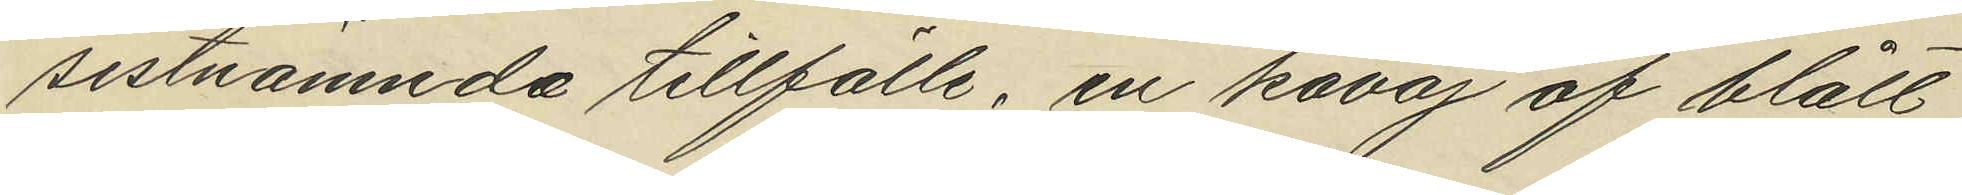sistnämnda tillfälle, en kavaj af blått
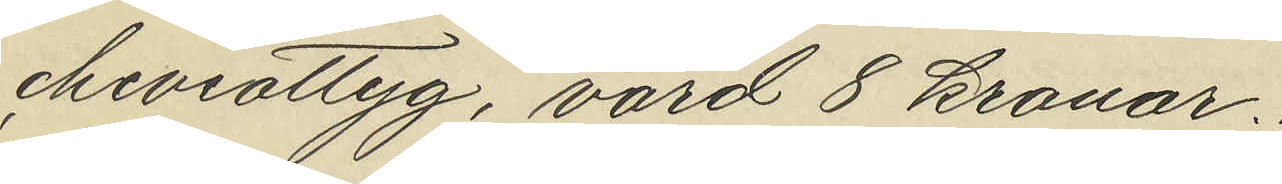cheviottyg, värd 8 kronor.
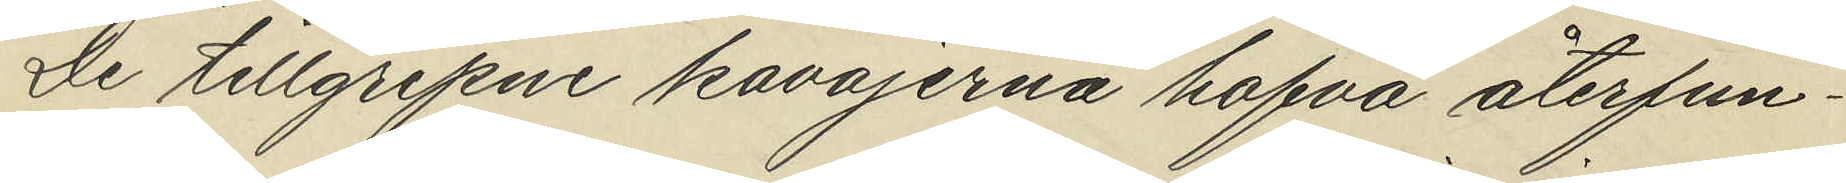De tillgripne kavajerna hafva återfun¬
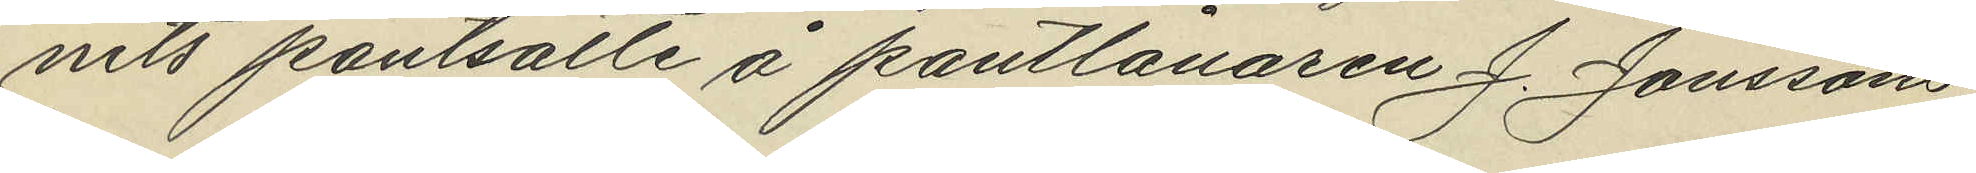nits pantsatte å pantlånaren J. Jonssons
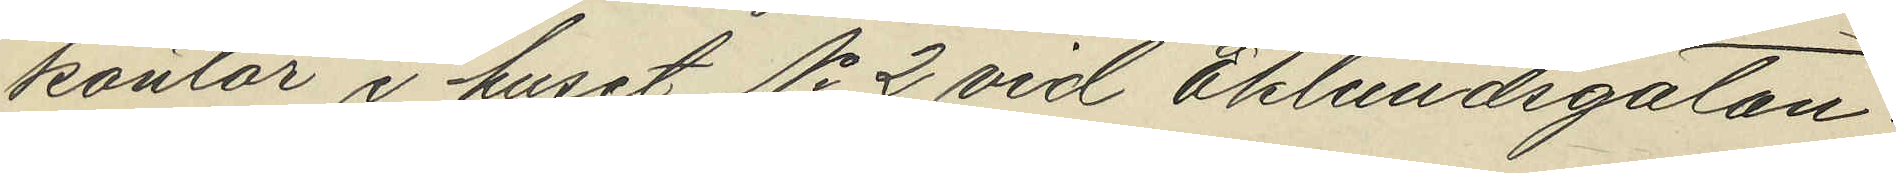kontor i huset No 2 vid Eklundsgatan.
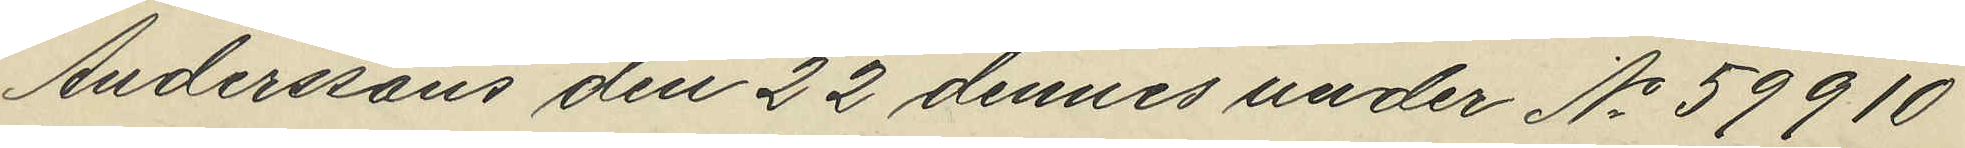Anderssons den 22 dennes under No 59910
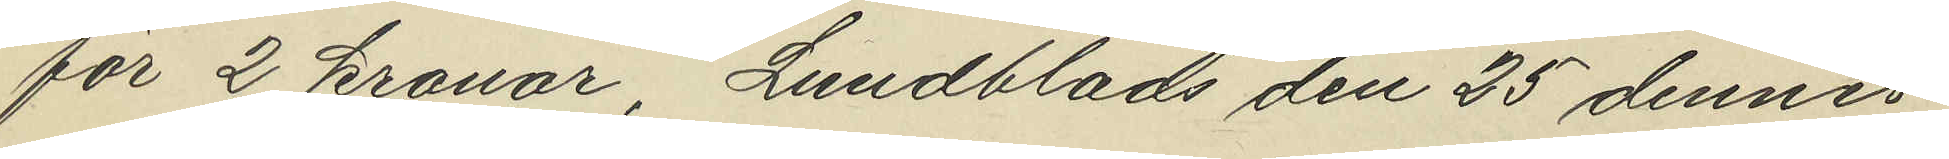för 2 kronor, Lundblads den 25 dennes
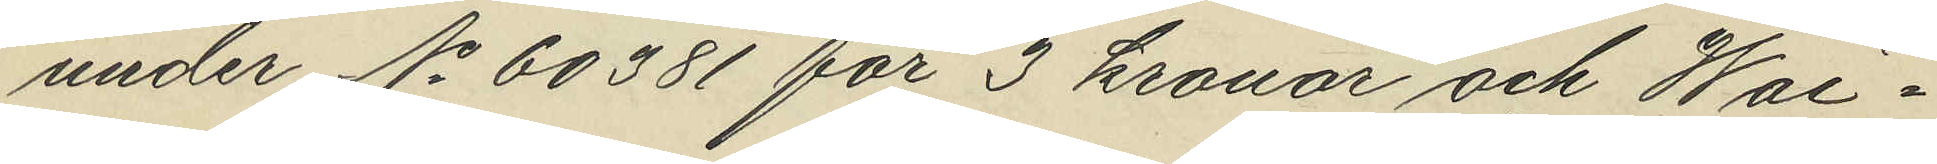under No 60381 för 3 kronor och Wai¬
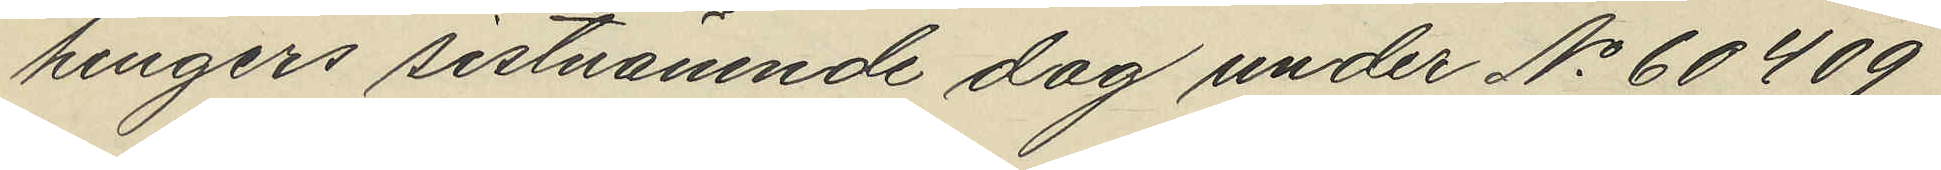hingers sistnämnde dag under No 60409
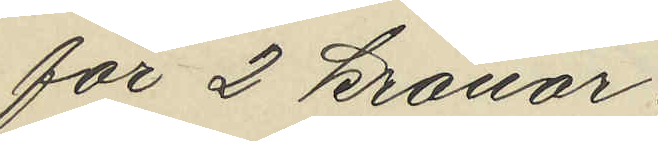för 2 kronor.
